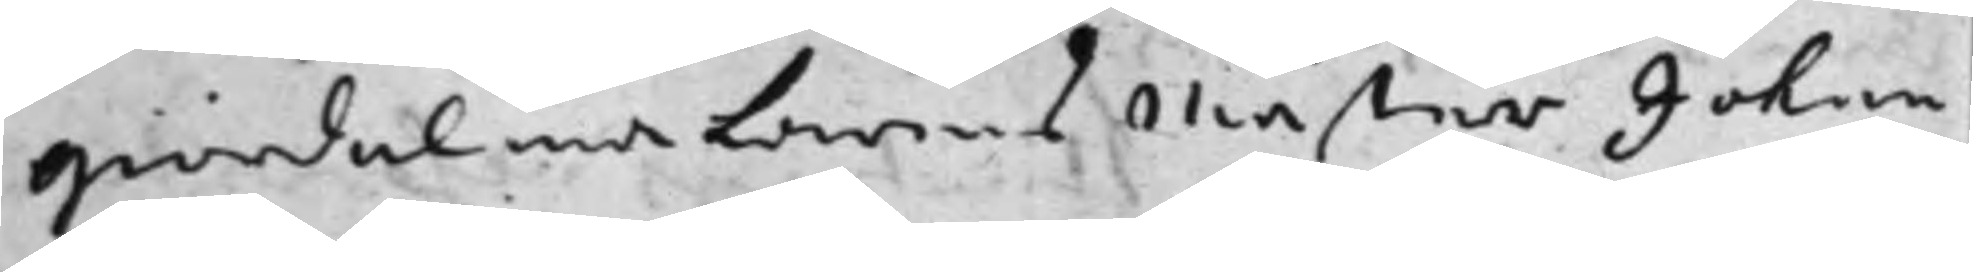Giördelmakarens Mäster Johan
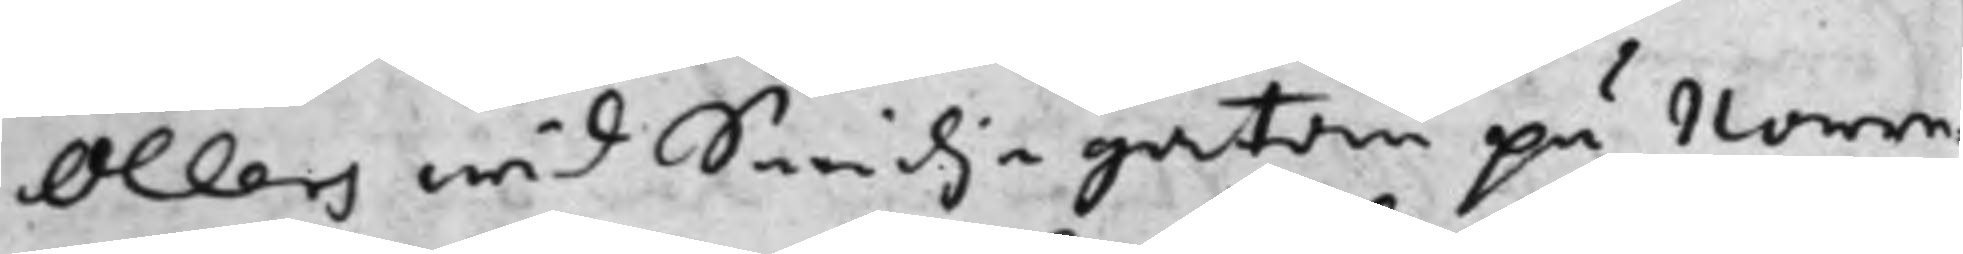Öllers wid Smidjegatan på Norre¬
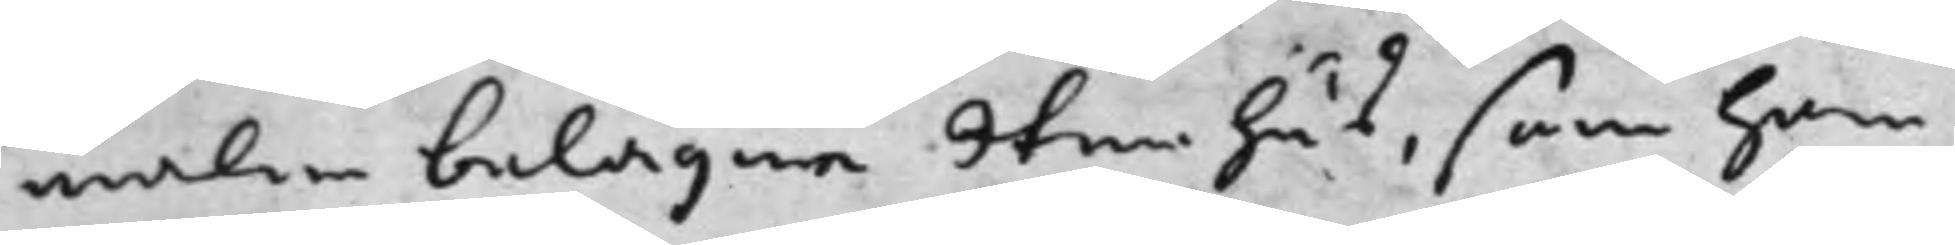malm belägne Stenhus, som han
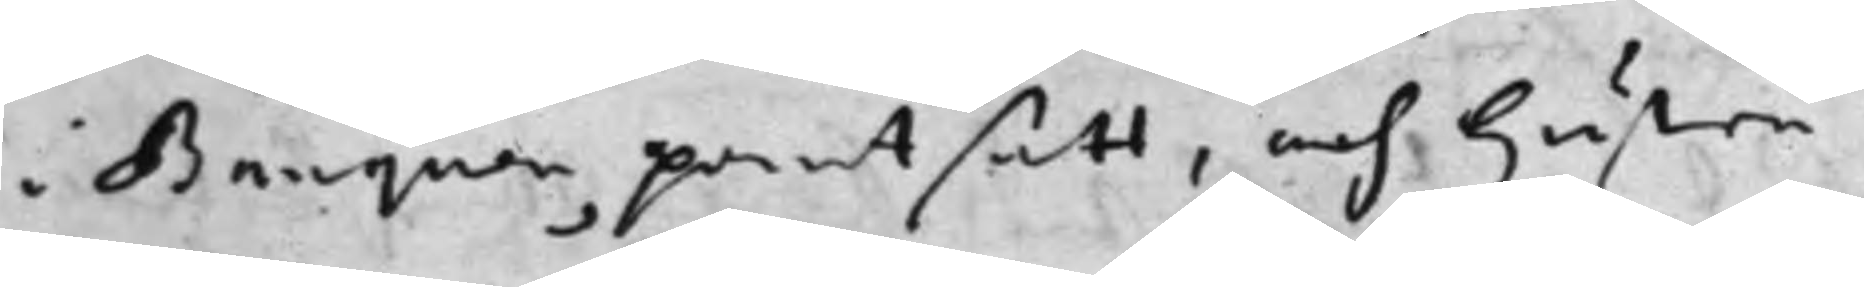i Banquen pantsatt, och hustru
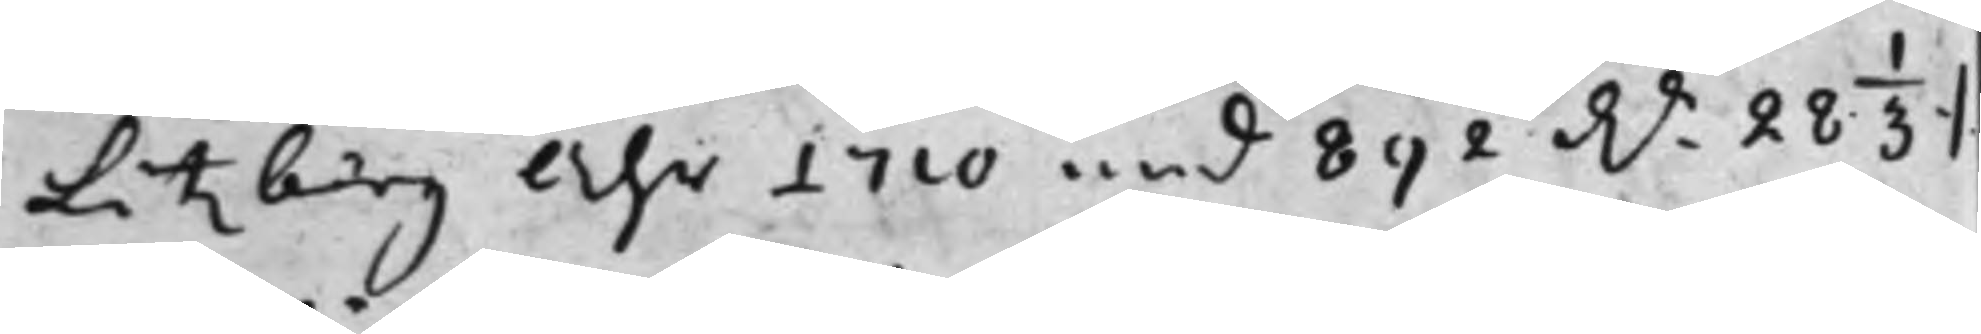Litzberg Åhr 1710 med 892 D.r 28 1/3 ./.
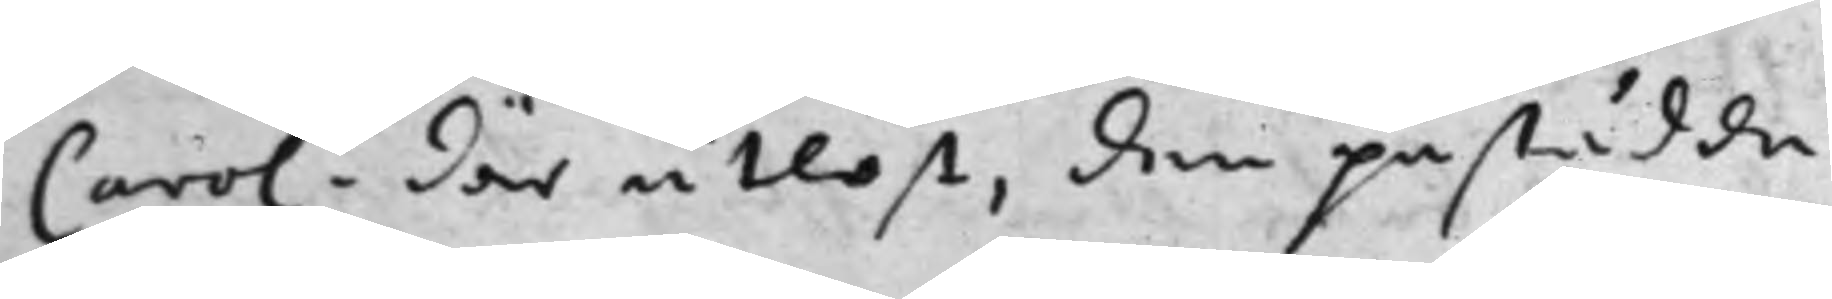Carol: där utlöst, den påstådde
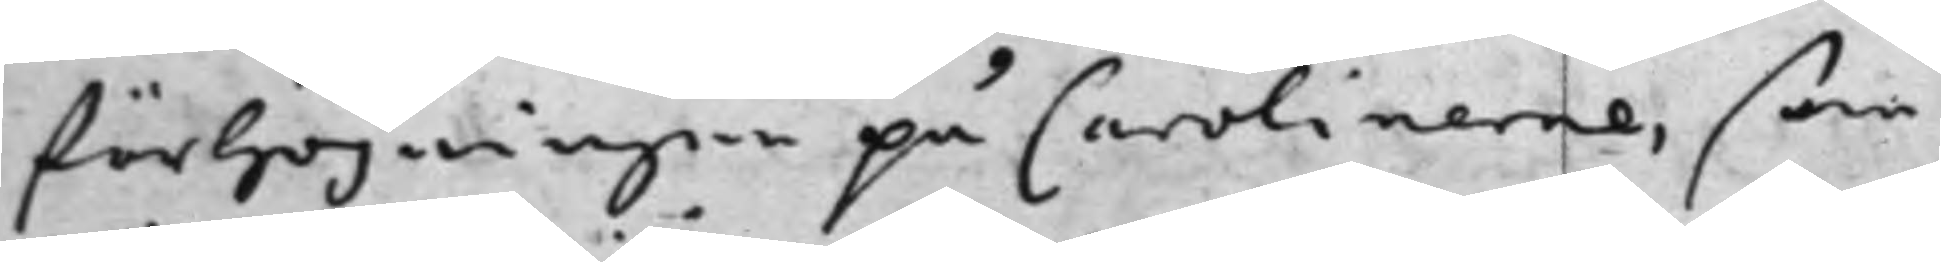förhöjningen på Carolinerne, som
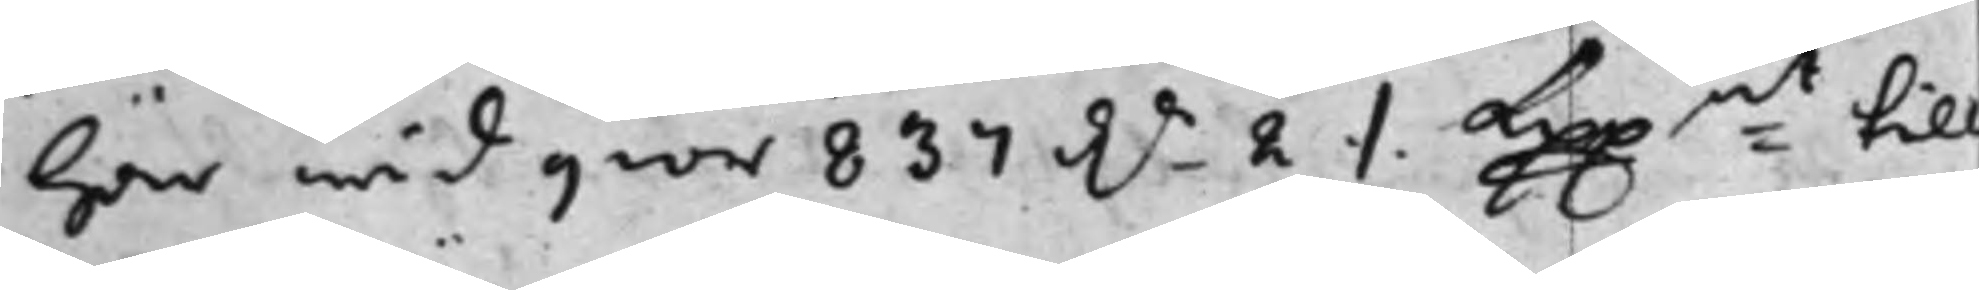här wid giör 837 D.r 2 ./. Kpp:mt till
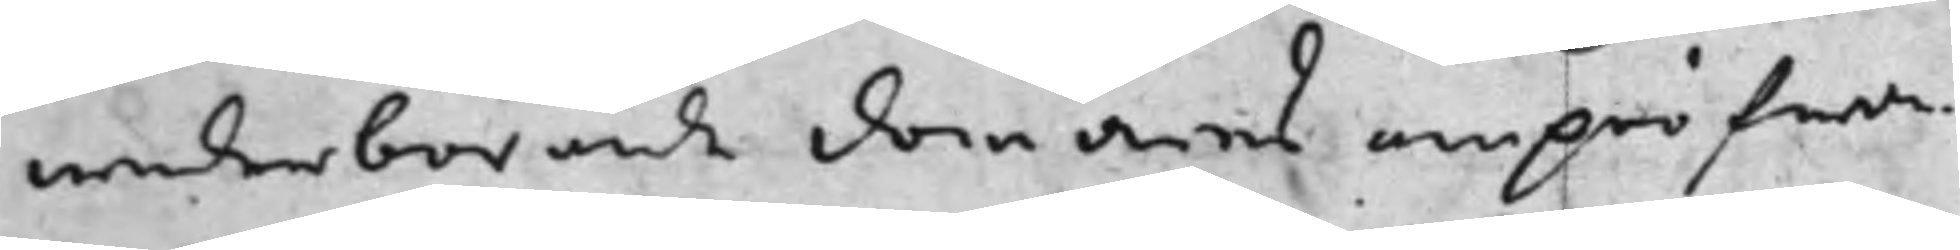wederbörande domares ompröfwan¬
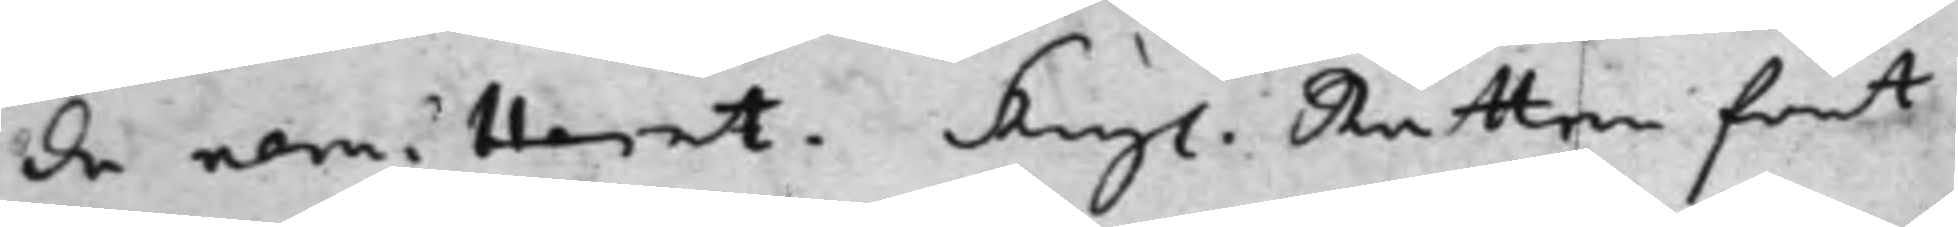de remitterat. Kongl. Rätten fant
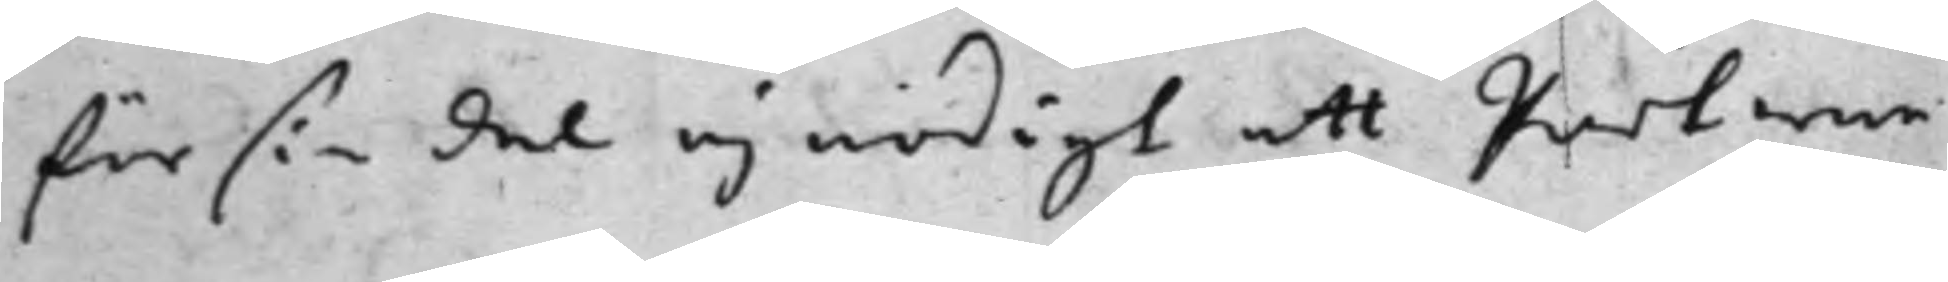för sin del ej nödigt att Parterne
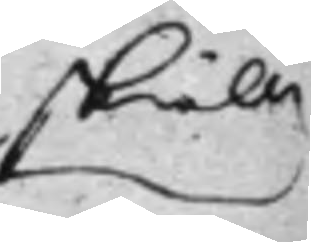skulle
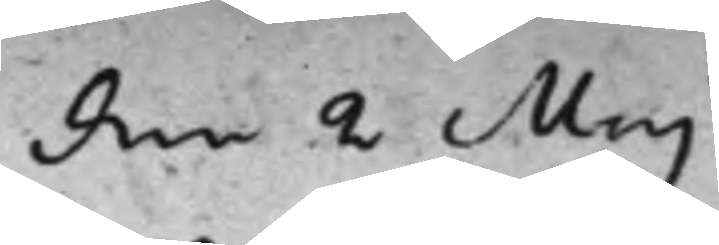den 2 Maj
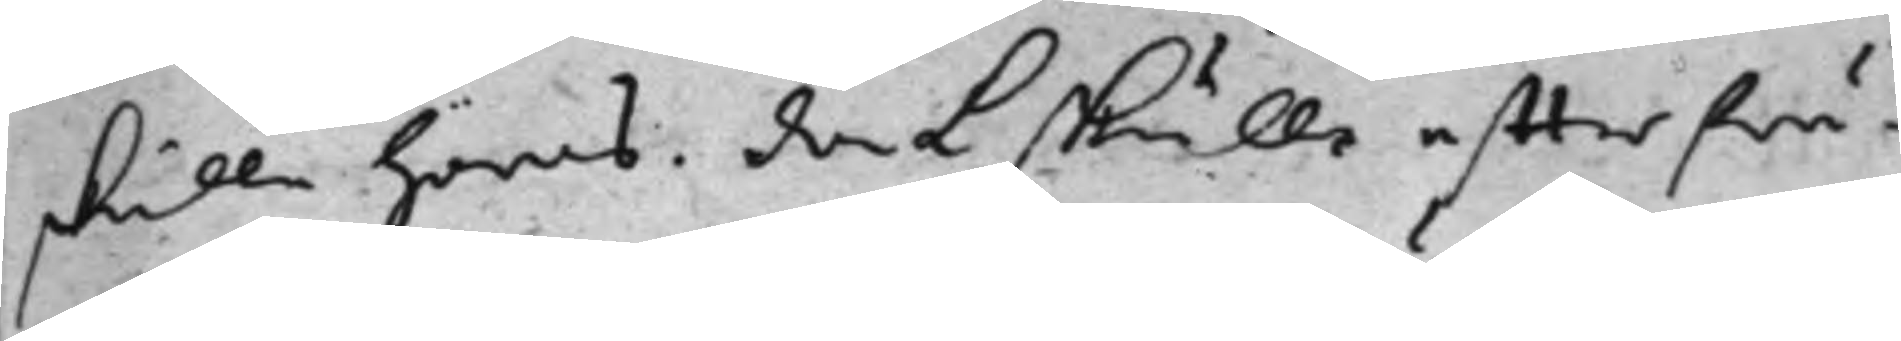skulle höras. Dock skulle effterfrå¬
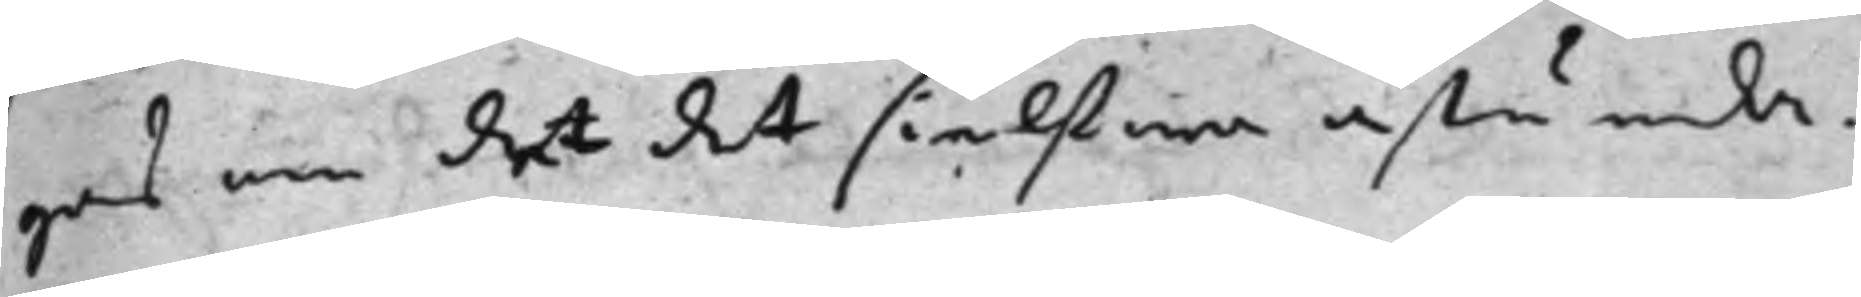gas om det det sielfwa åstunda.
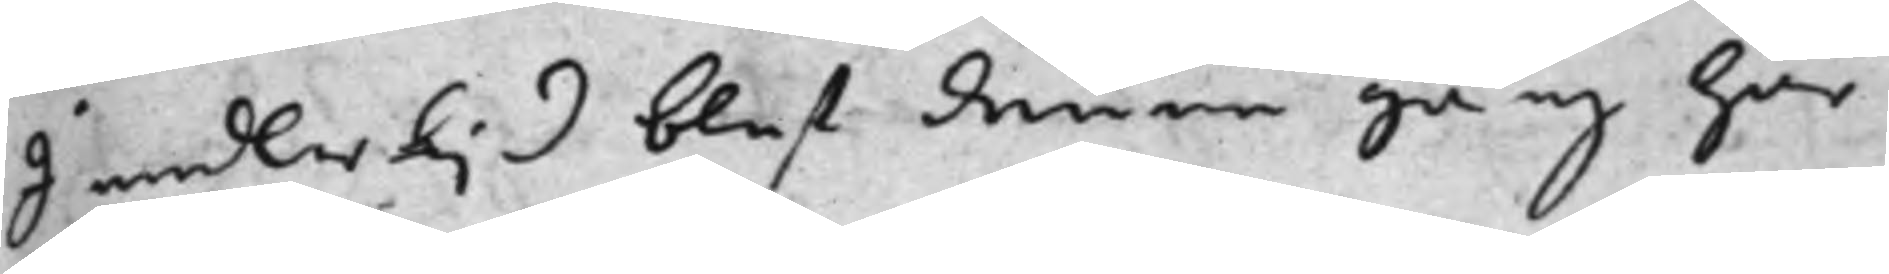I medlertijd blef denne gång här
